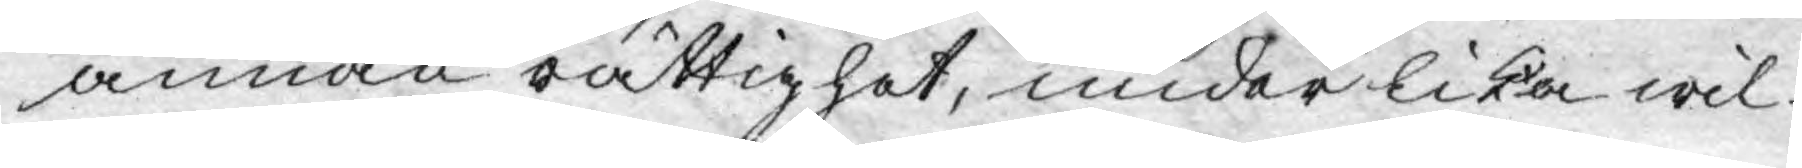annan rättighet, under lika wil¬
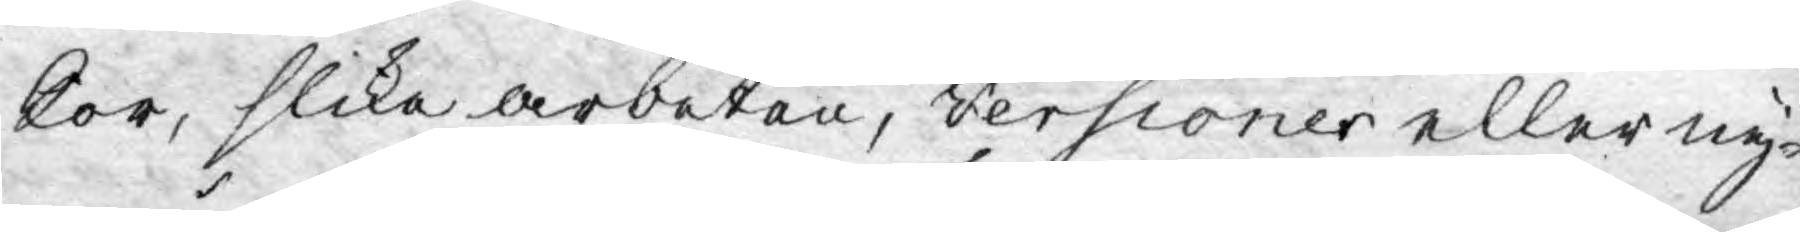kor, slika arbeten, versioner eller ny¬
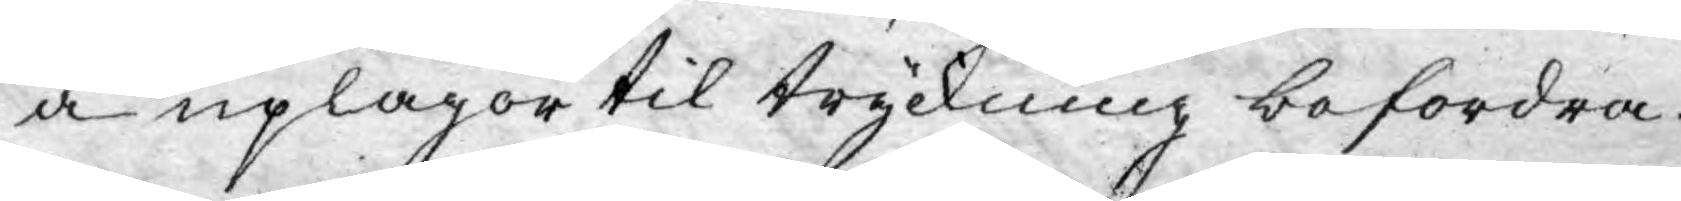a uplagor til tryckning befordra.
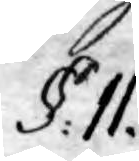§. II.
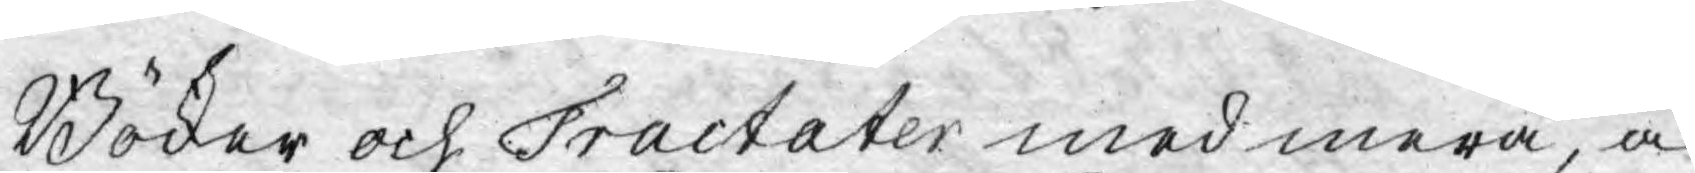Böcker och Tractater med mera, å
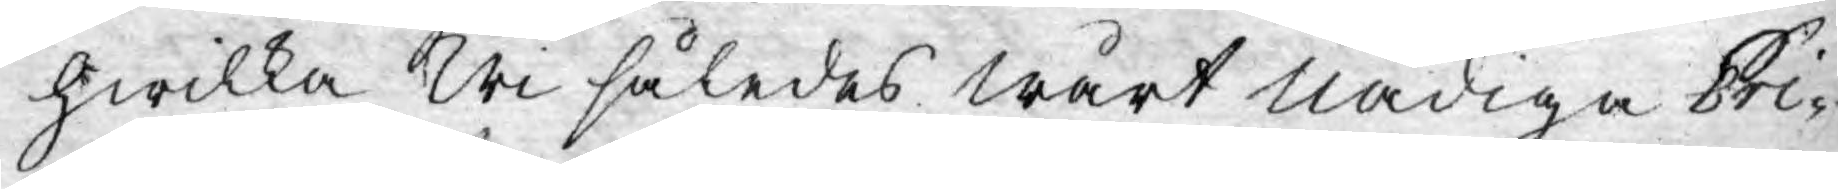hwilka Wi således Wårt nådiga Pri¬
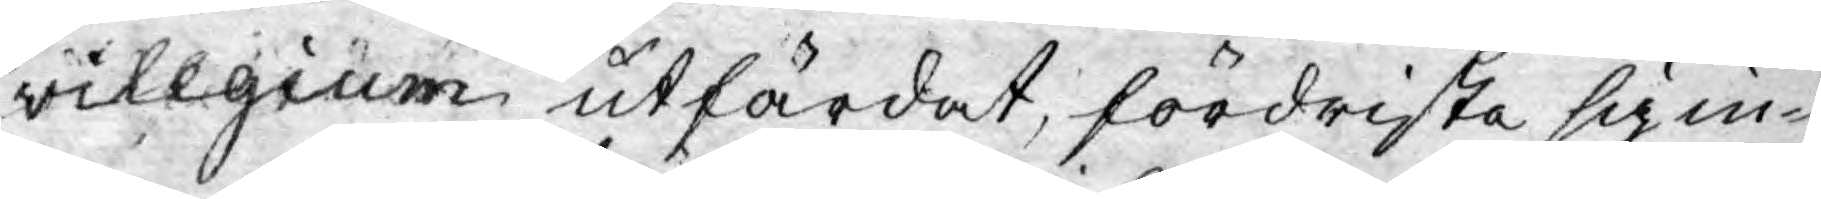vilegium utfärdat, fördrista sig in¬
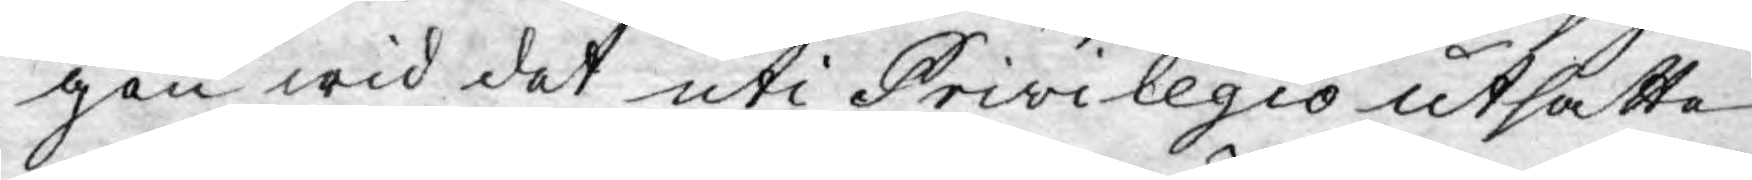gen wid det uti Privilegio utsatte
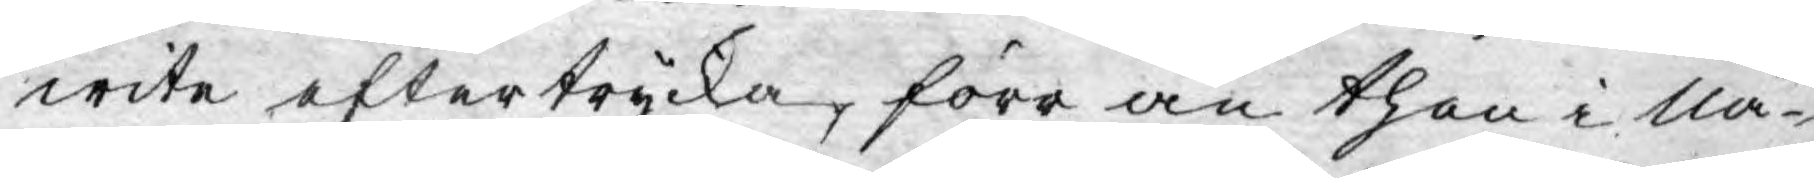wite eftertrycka, förr än then i Nå¬
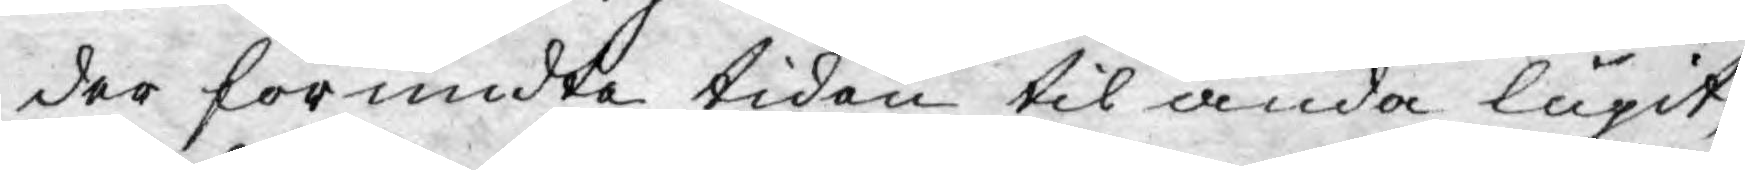der förundta tiden til ända lupit,
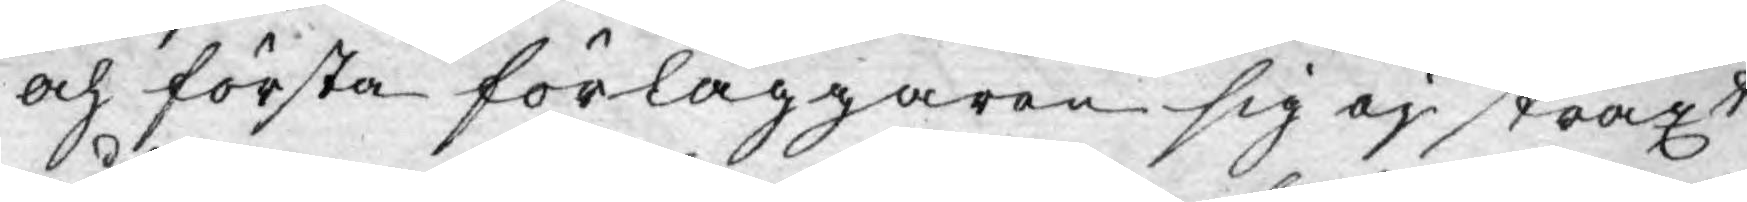och första förläggaren sig ej straxt
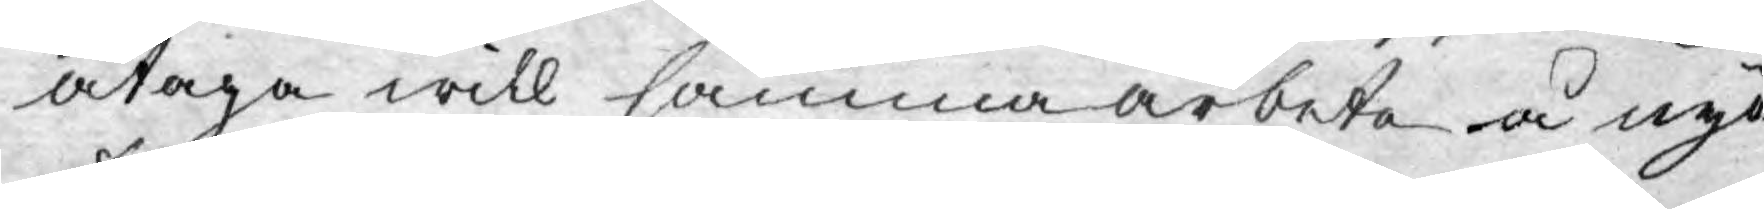åtaga will samma arbete å nyo
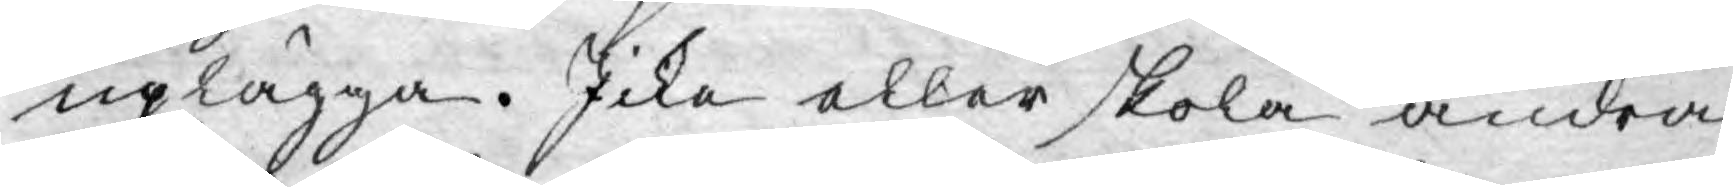uplägga. Icke eller skola andra
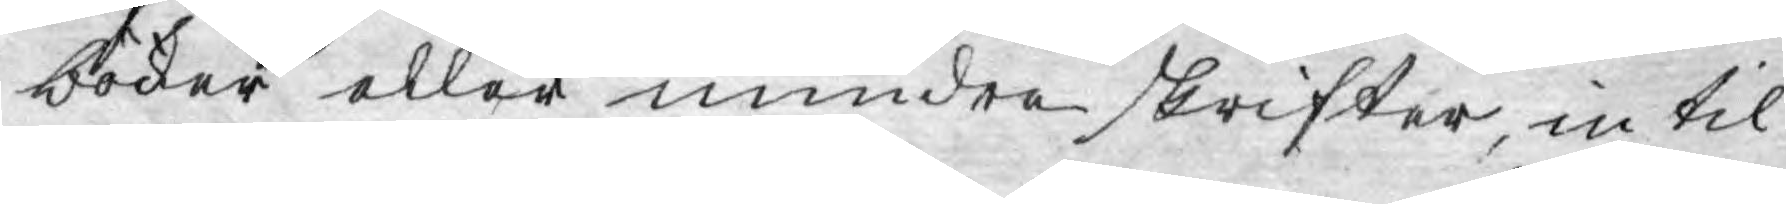böcker eller mindre skrifter, in til
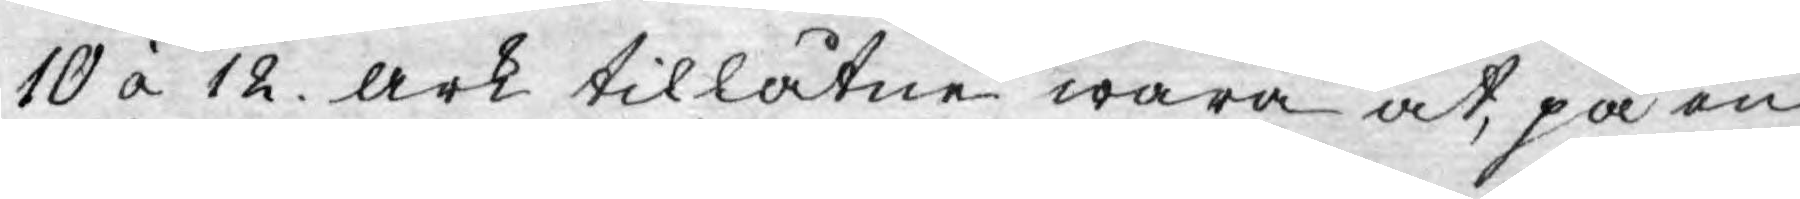10 à 12. ark tillåtne wara at, på en
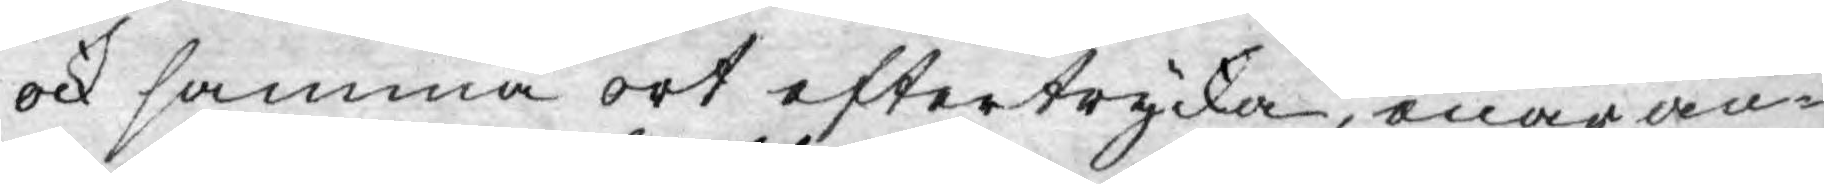ock samma ort eftertrycka, enär an¬
